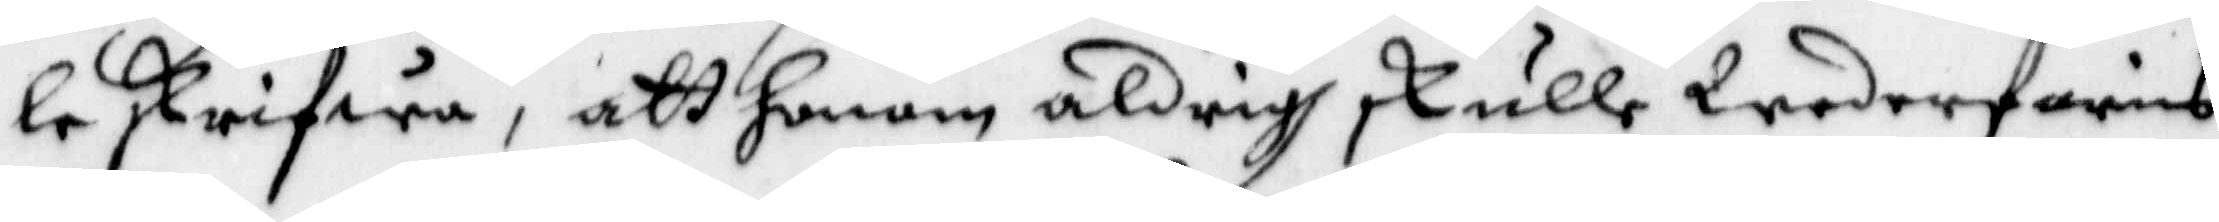le skrifwa, att honom aldrig skulle Wederfaris
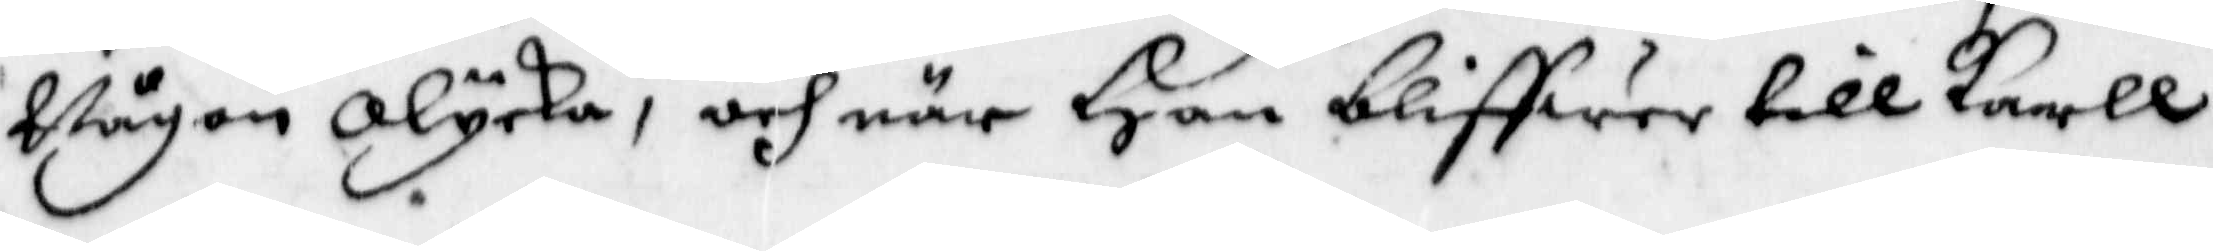Någon olycka, och när Han bliffwer till Karll
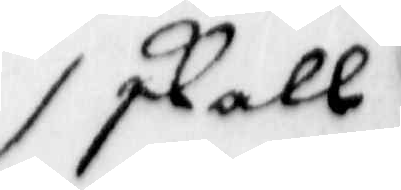skall
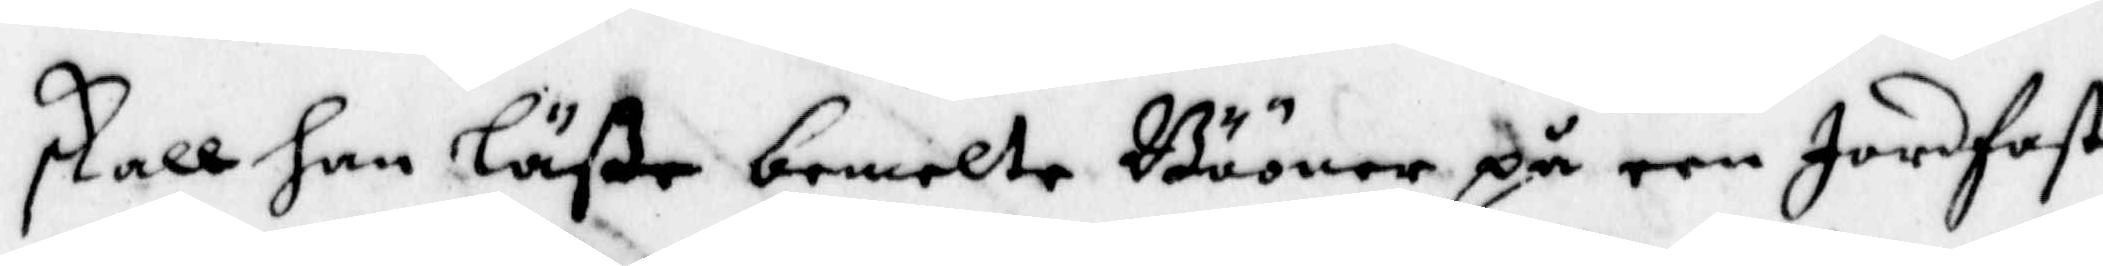skall han läße bemelte Bööner på een Jordfast
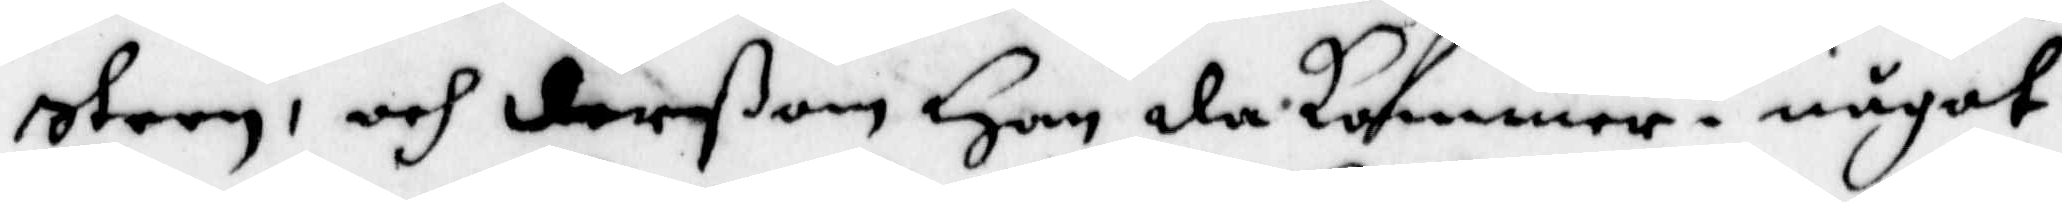steen, och derßom Han da kommer i något
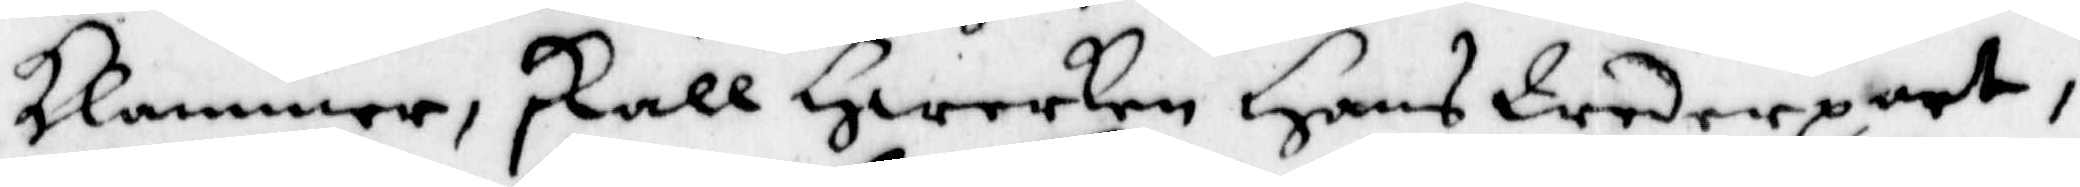klammer, skall Hwarken Hans Wederpart,
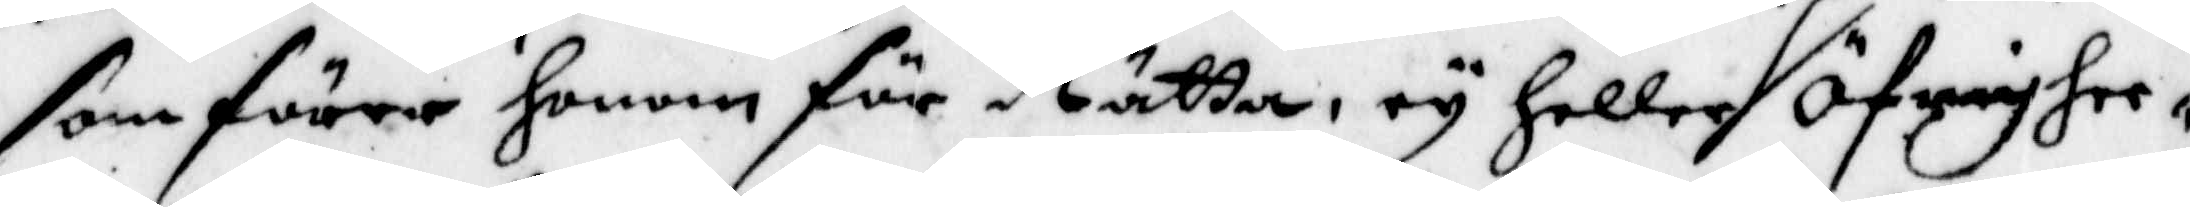som förer honom för Rätta, ey heller Öfrighee¬
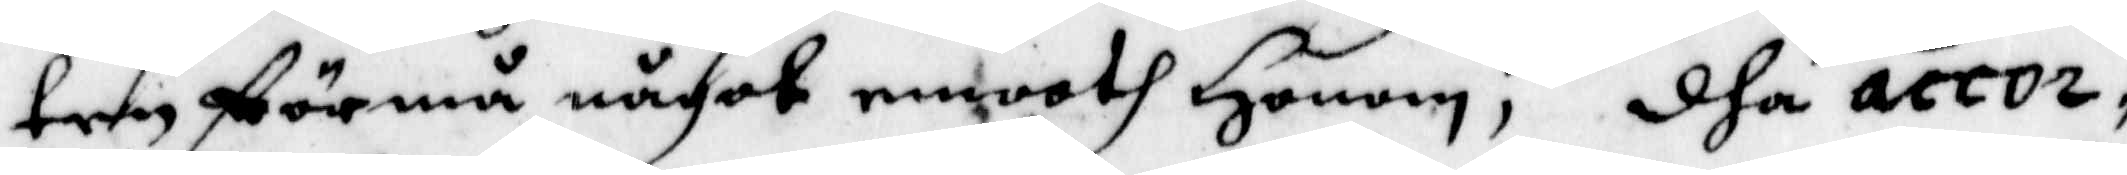ten förmå något emoth Honom; dha accor¬
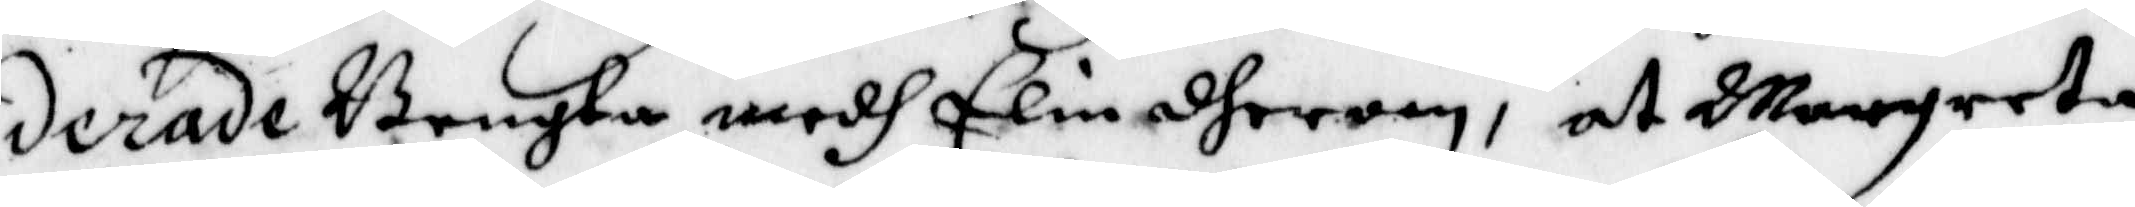derade bengta medh Elin dherom, at Margreta
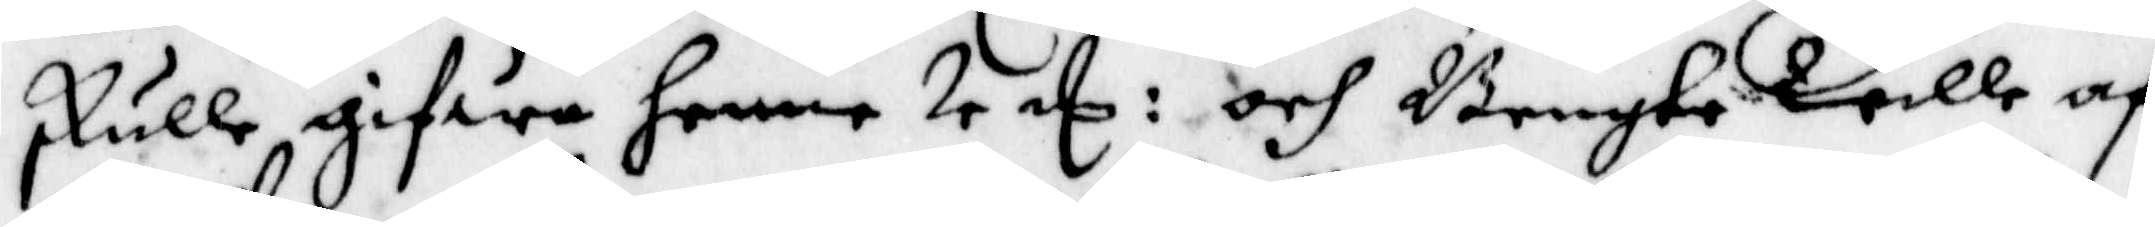skulle gifwa henne 4 E : och Bengta Wille af
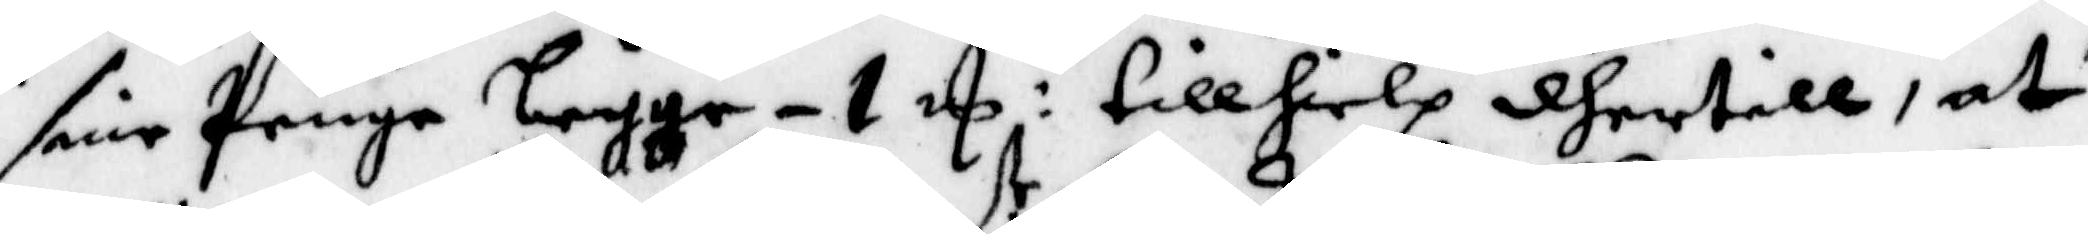sine Penge legge - 1 E : tillhielp dhertill, at
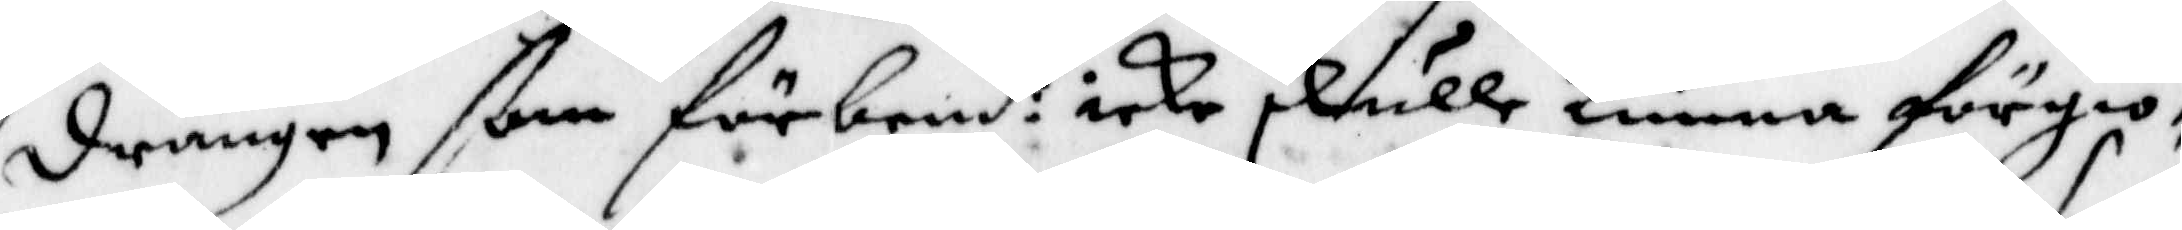drängen ßom förbend:tr icke skulle kunna förgiö¬
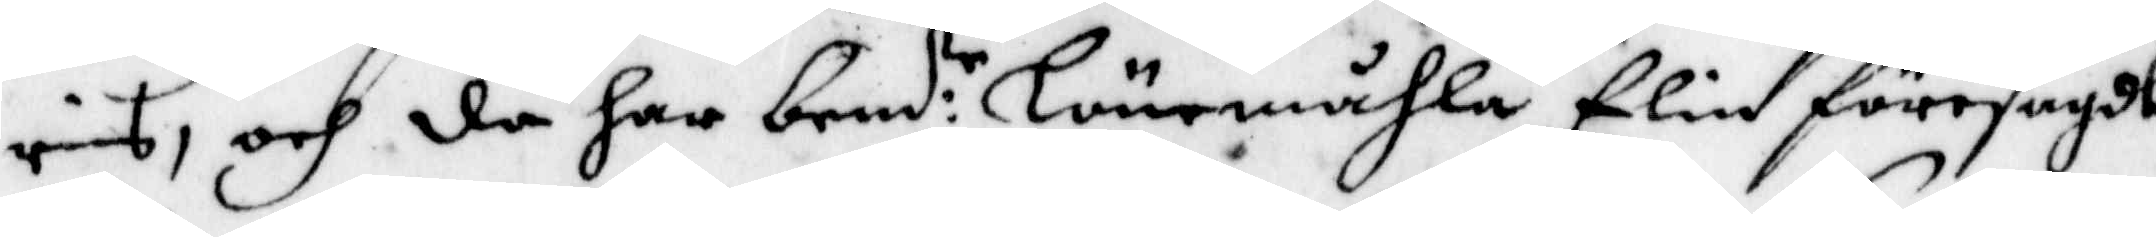ras, och da har bend:tr Lönemåhla Elin föresagdt
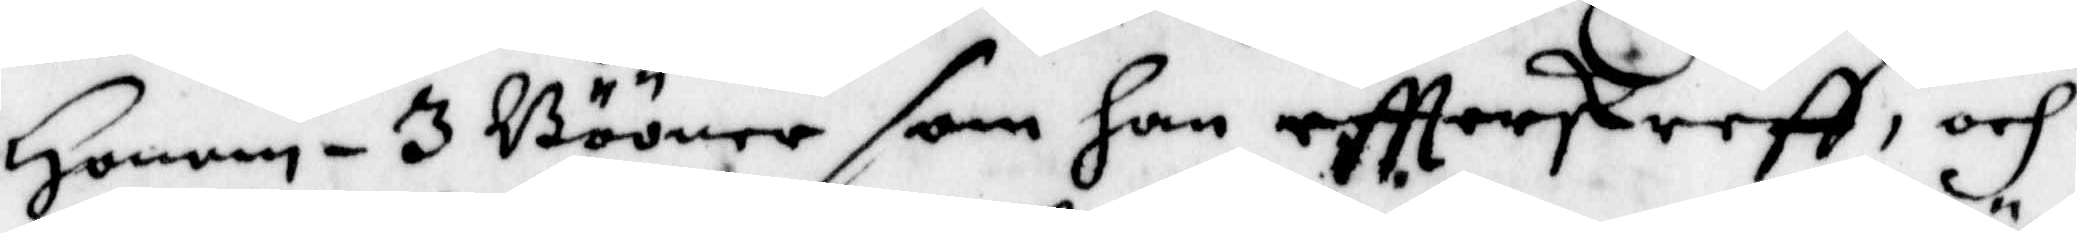Honom - 3 Bööner som han eftterskreeff, och
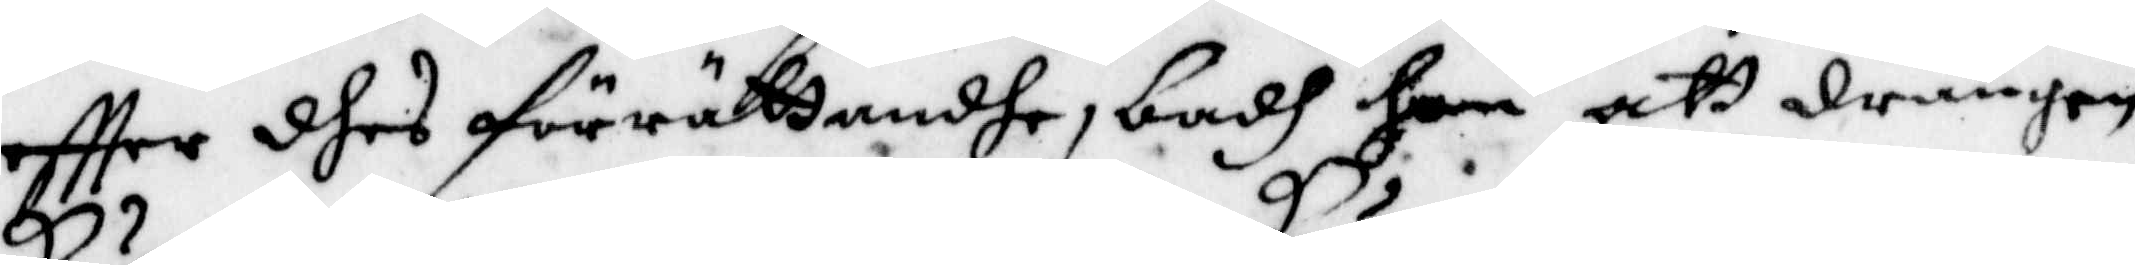eftter dhes förrättandhe, badh hon att drängen
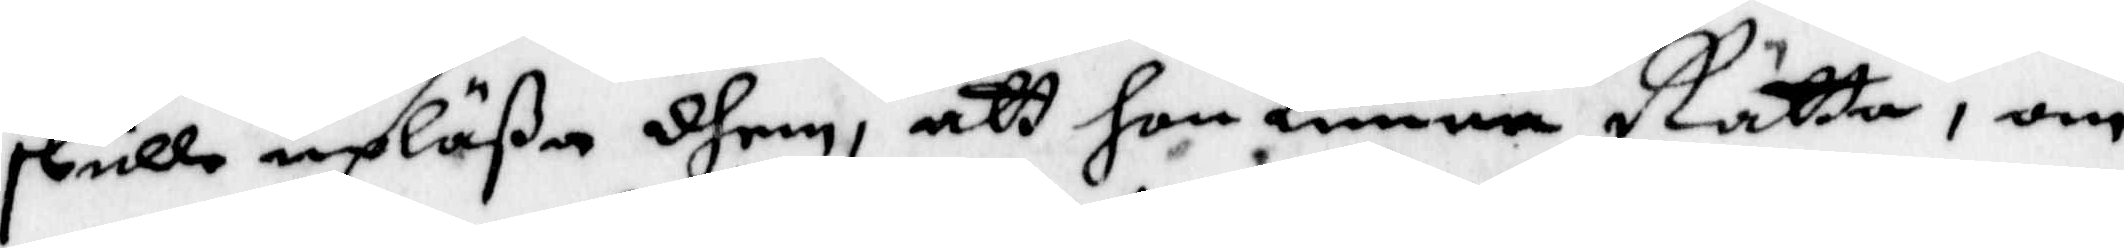skulle upläßa dhem. att hon kunna Rätta, om
